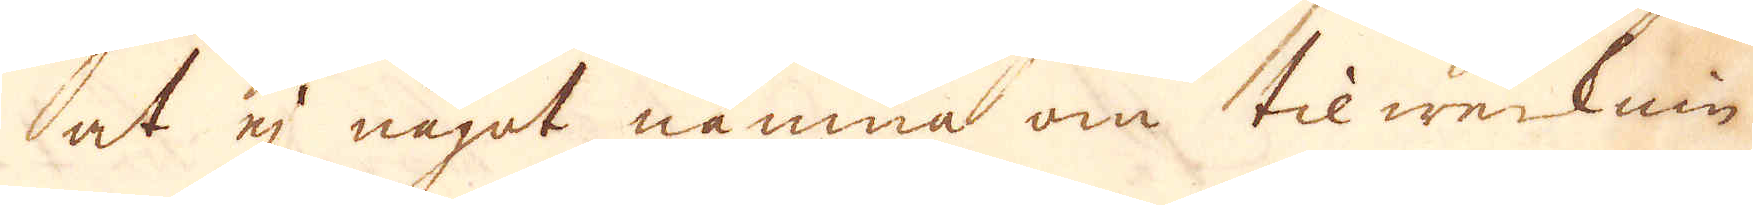at ej något nämna om tilwerknin-
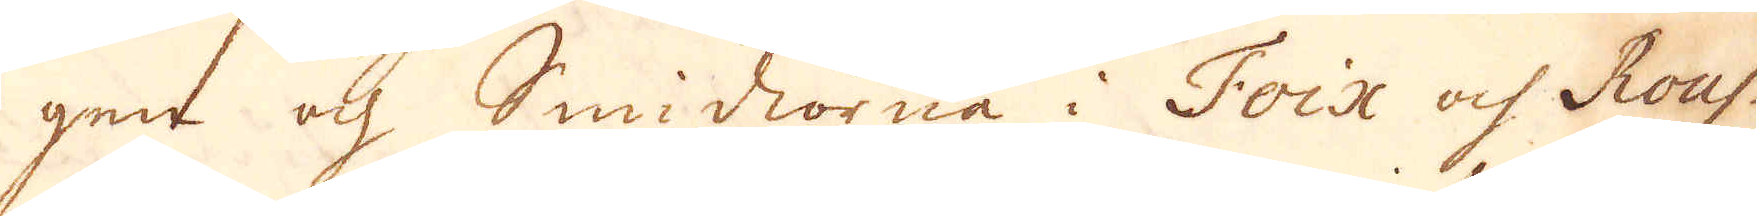gen och Smidiorna i Foix och Rous-
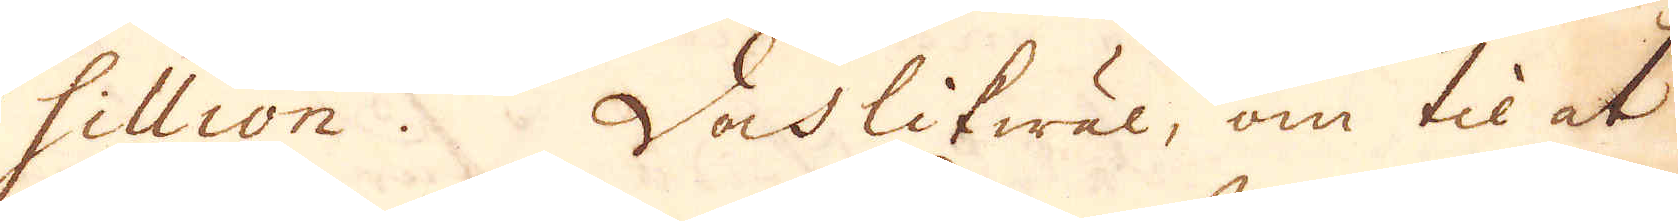sillion. Doch likwäl, om til at
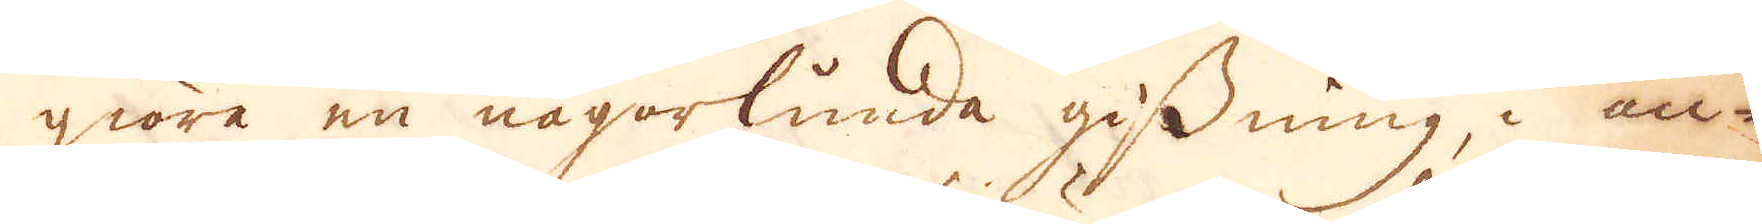giöra en någorlunda gissning, i an-
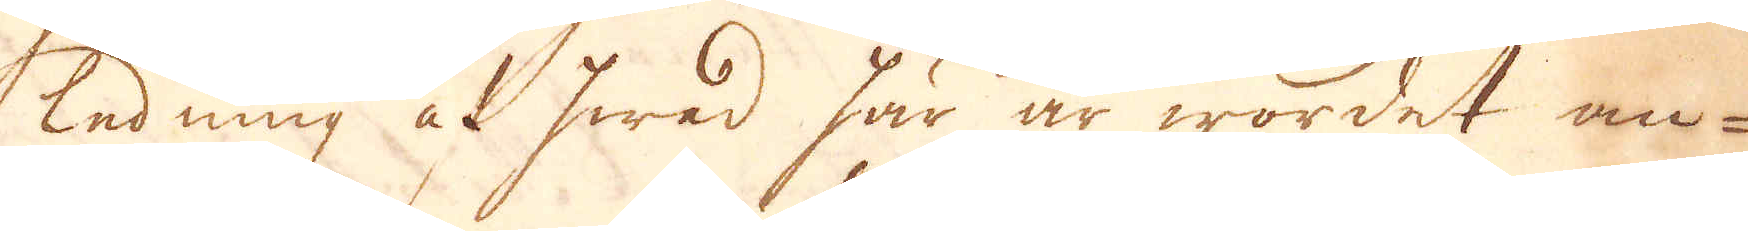ledning af hwad här är wordet an-
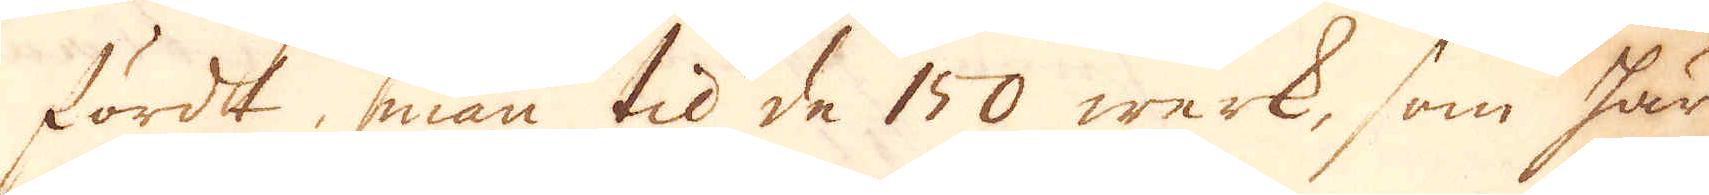fördt, man til de 150 werk, som här
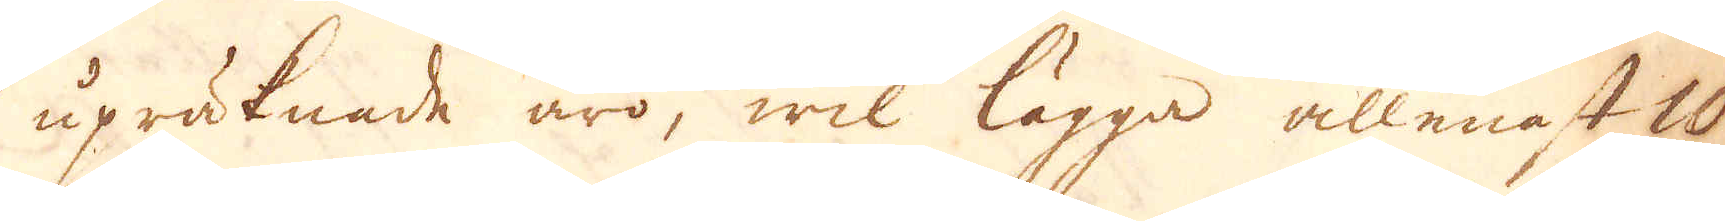upräknade äro, wil lägga allenast 10
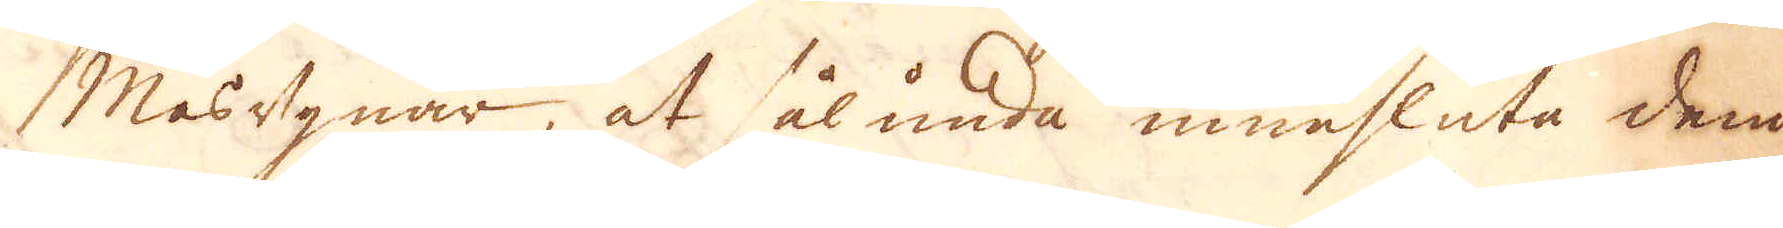Masugnar, at sålunda innesluta dem
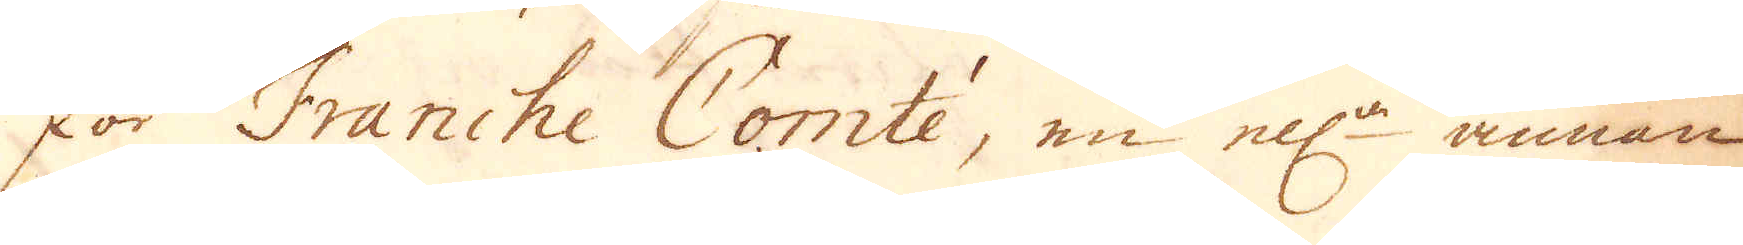för Franche Comte, en ell:r annan
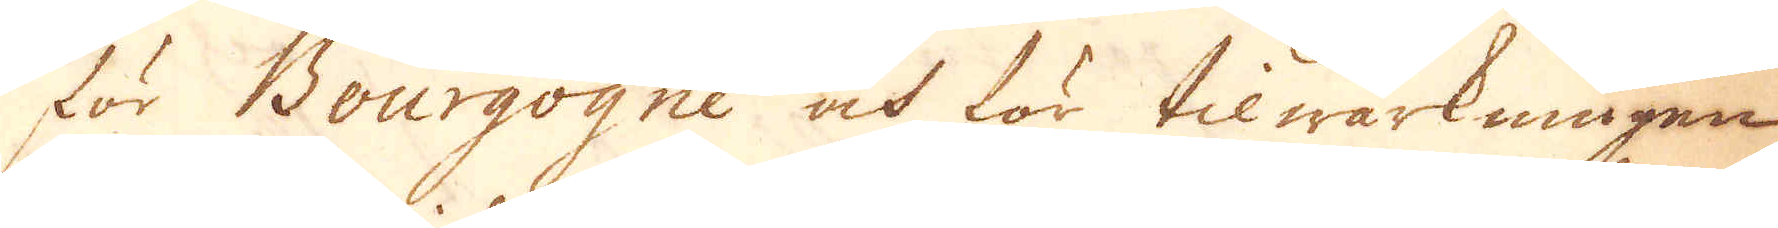för Bourgogne och för tilwärkningen
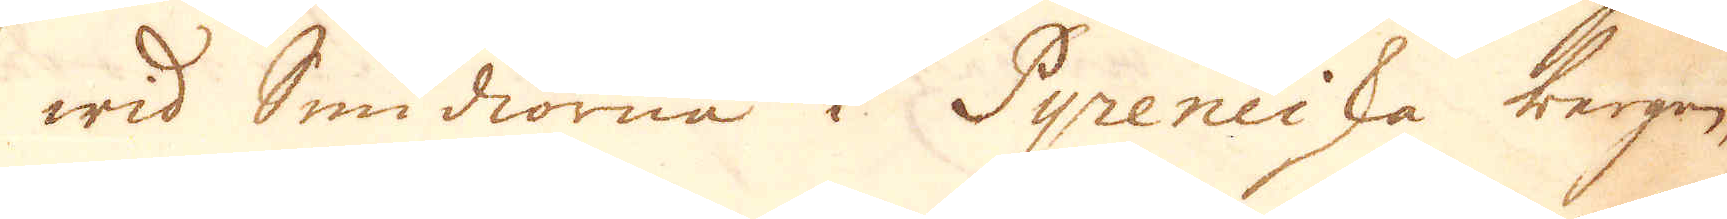wid Smidiorne i Pyreneiska bergen,
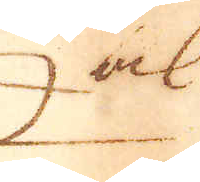ock
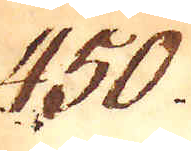450.
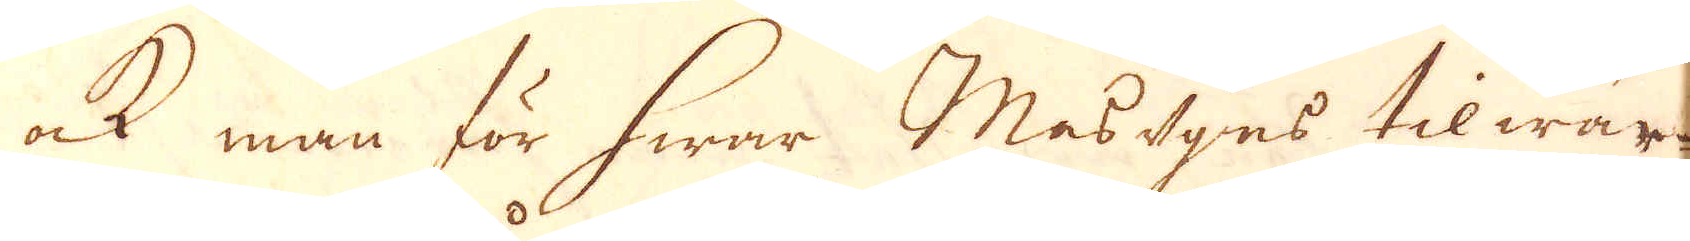ock man för hwar Masugns tilwär-
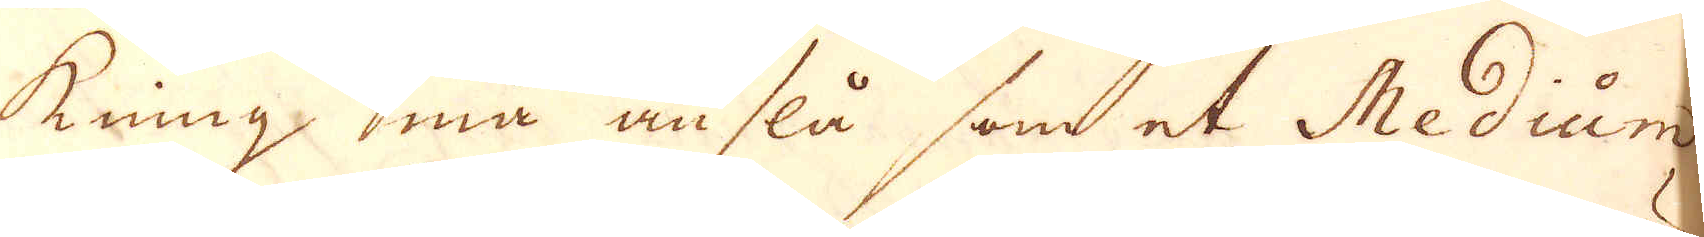kning må anslå som et Medium
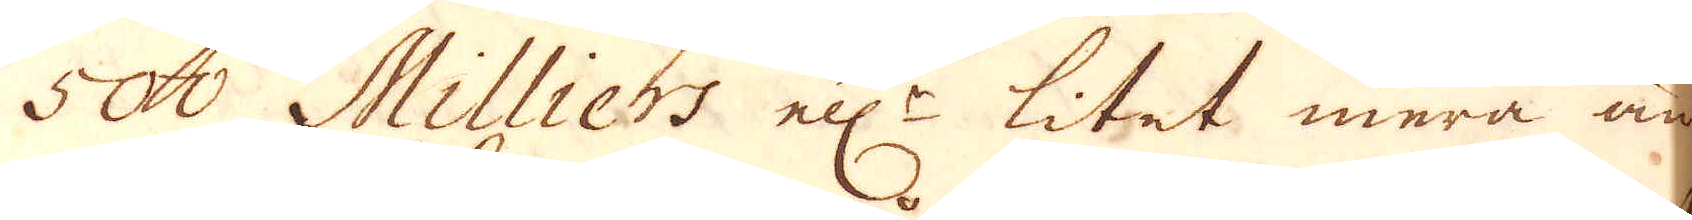500 Milliers ell:r litet mera än
